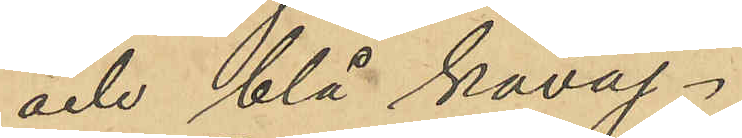och blå kavaj.
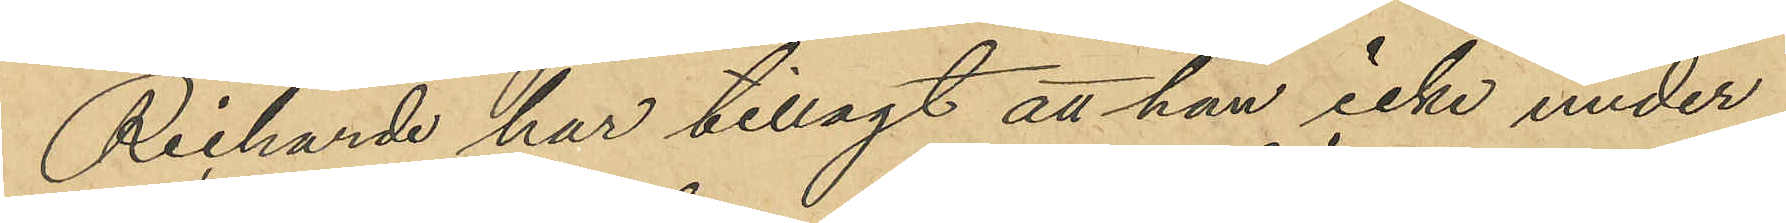Richarde har tillagt att han icke under
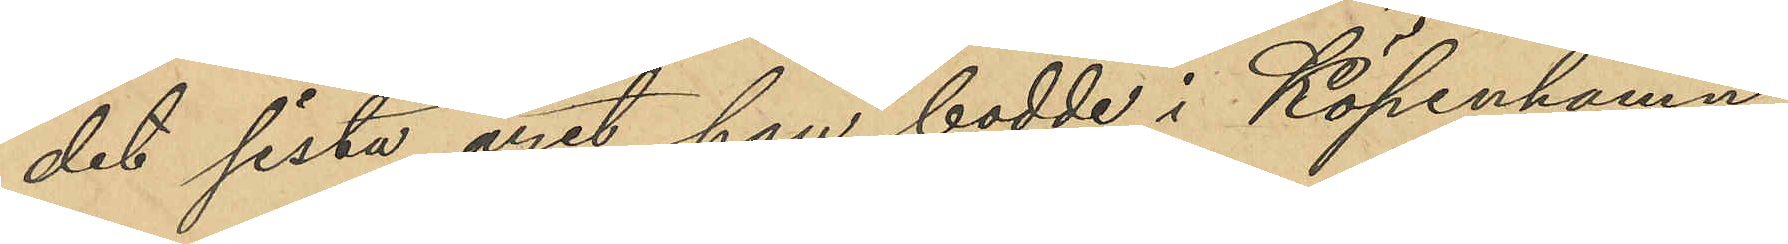det sista året han bodde i Köpenhamn
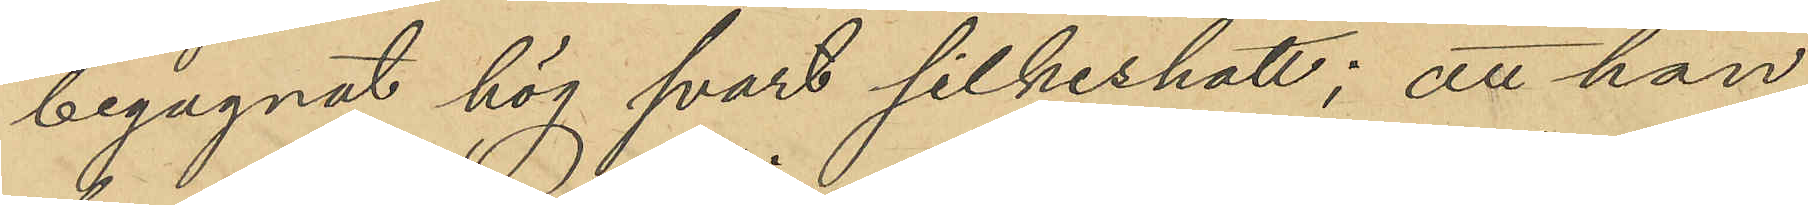begagnat hög svart silkeshatt; att han
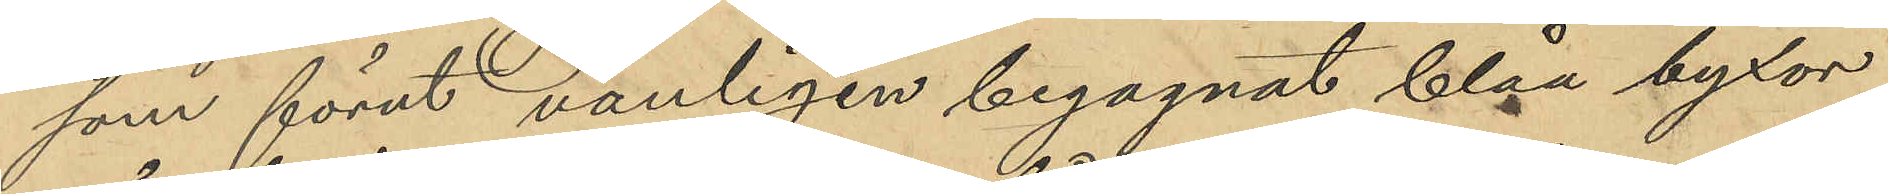som förut vanligen begagnat blåa byxor,
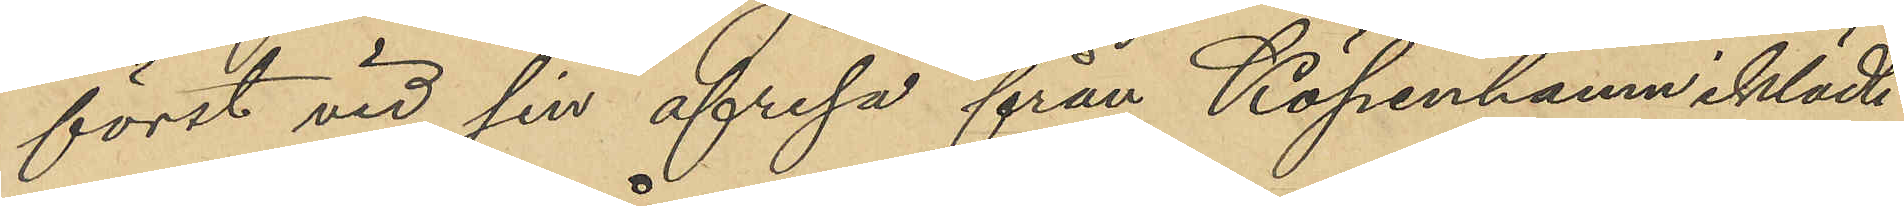först vid sin afresa från Köpenhamn iklädt
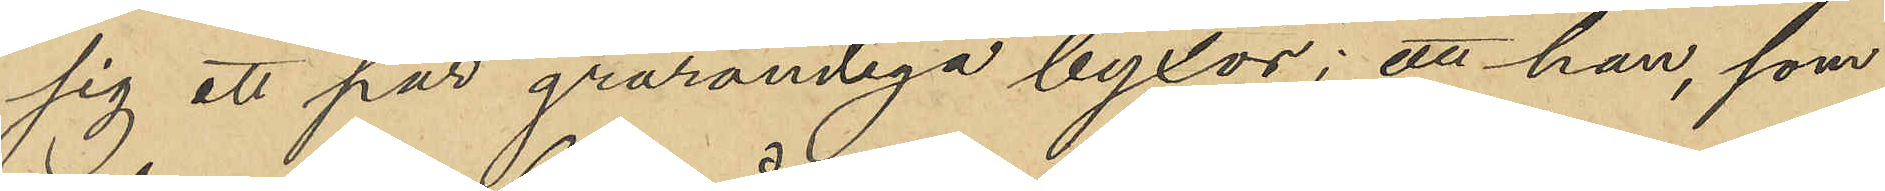sig ett par grårandiga byxor; att han, som
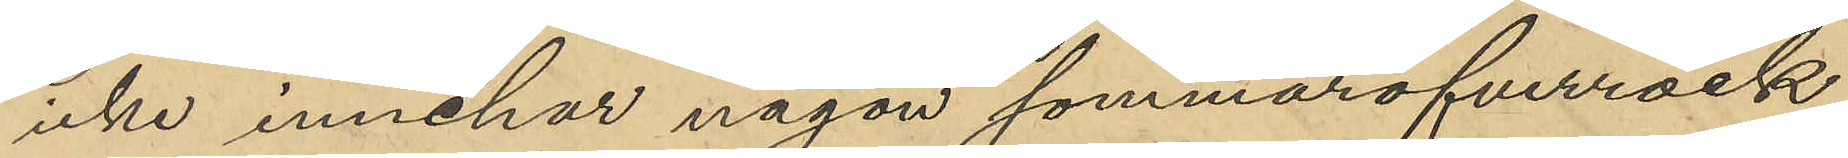icke innehar någon sommaröfverrock,
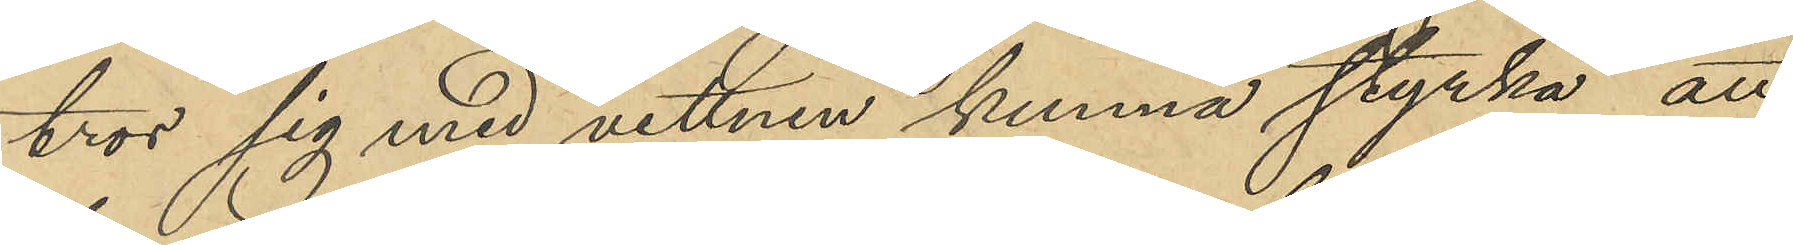tror sig med vittnen kunna styrka att
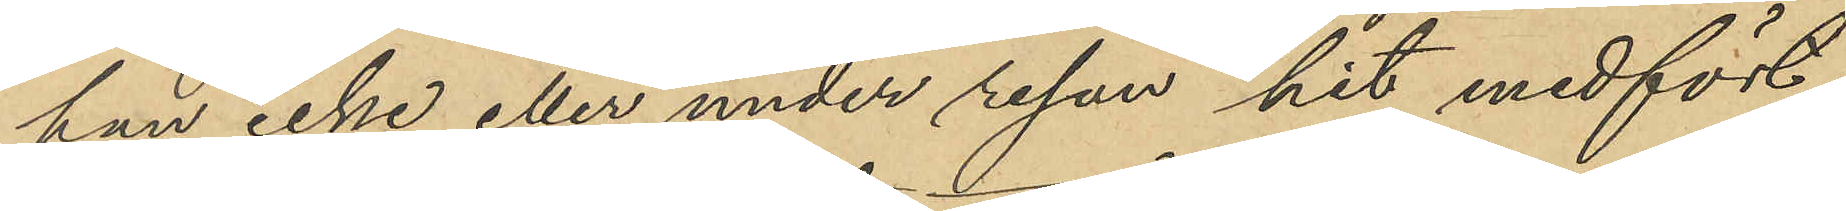han icke eller under resan hit medfört
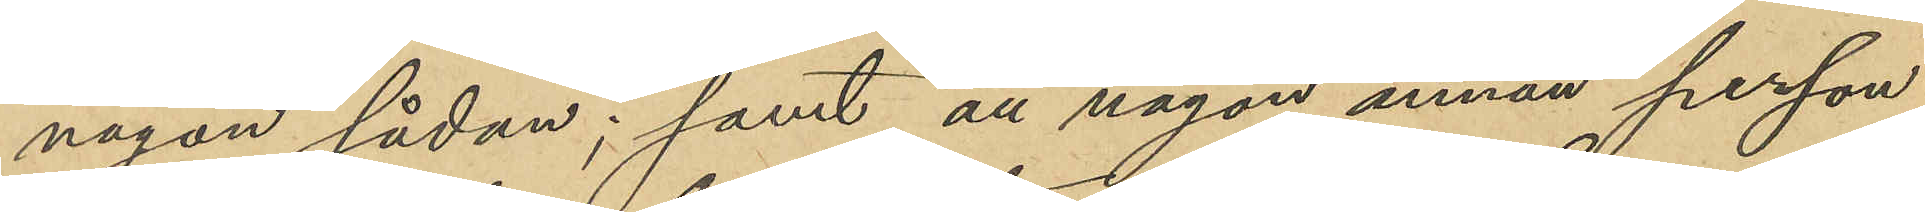någon sådan; samt att någon annan person
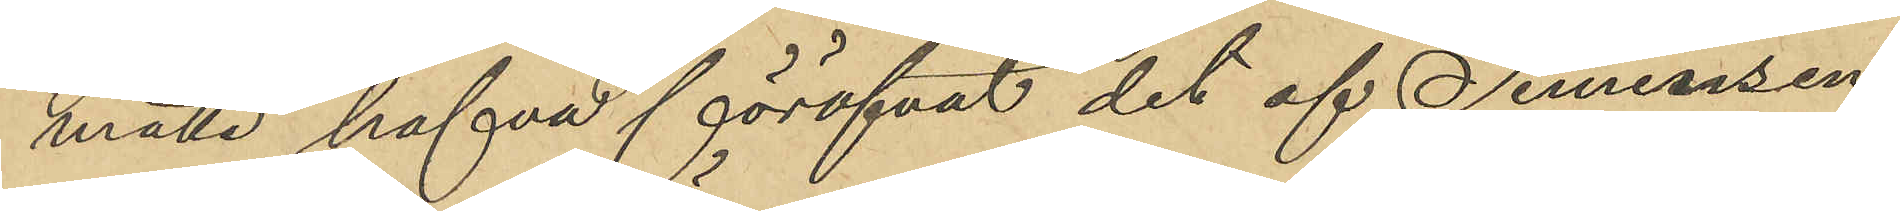måtte hafva föröfvat det af Simonsen
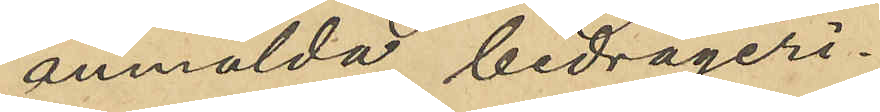anmälda bedrägeri.
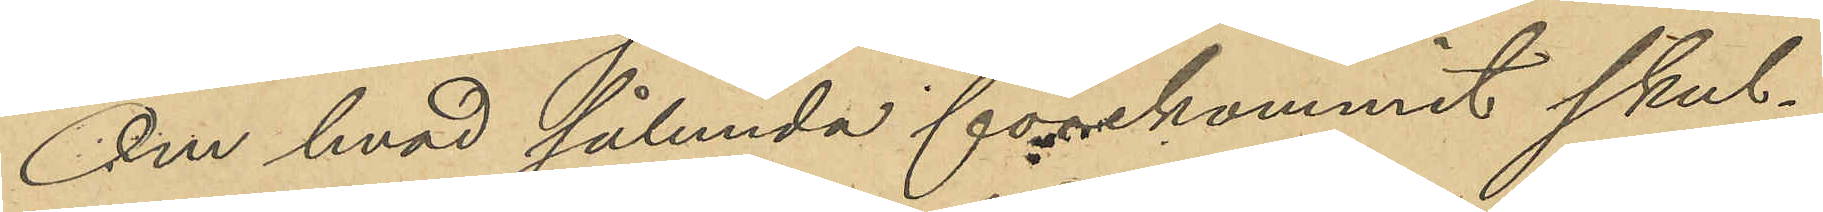Om hvad sålunda förekommit skul¬
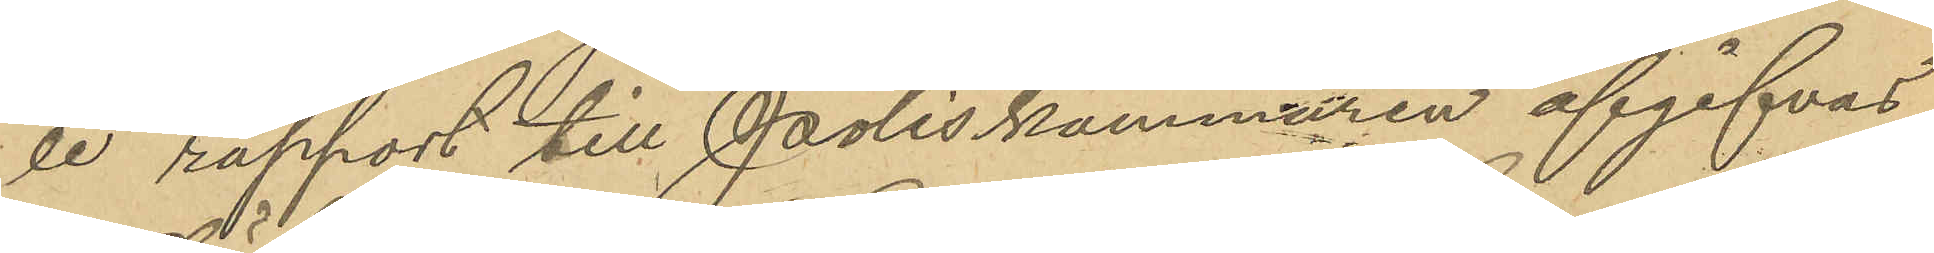le rapport till Poliskammaren afgifvas.
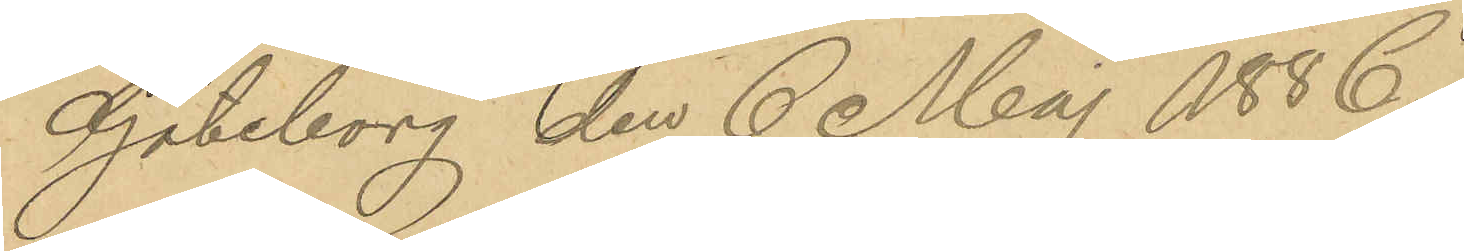Göteborg den 6 Maj 1886.
